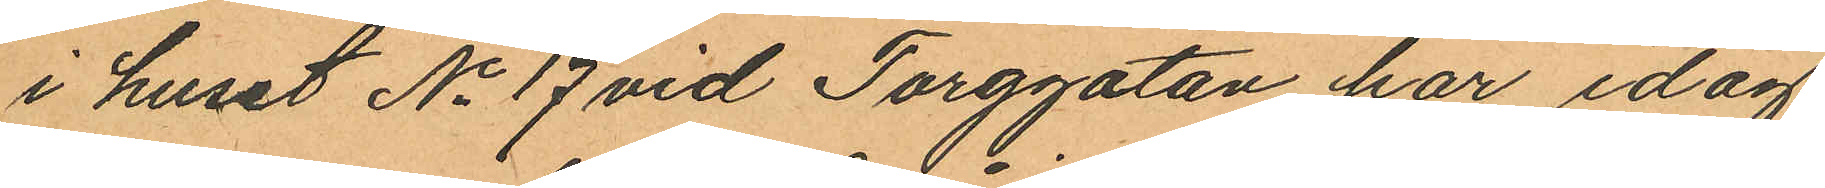i huset No 17 vid Torggatan, har idag
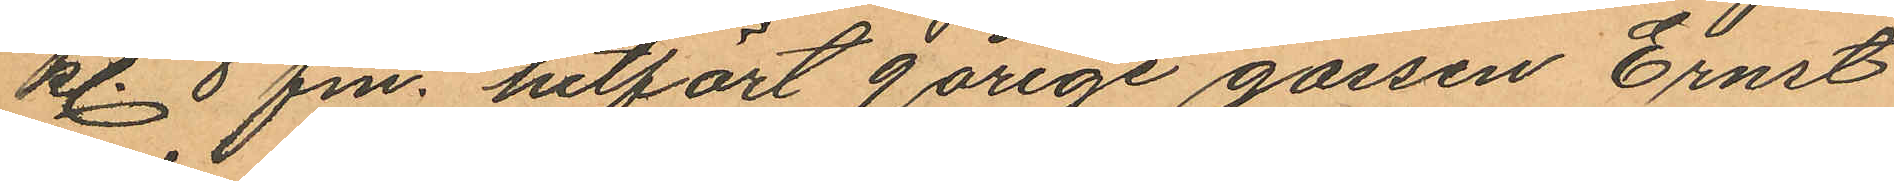kl. 8 fm. hitfört 9 årige gossen Ernst
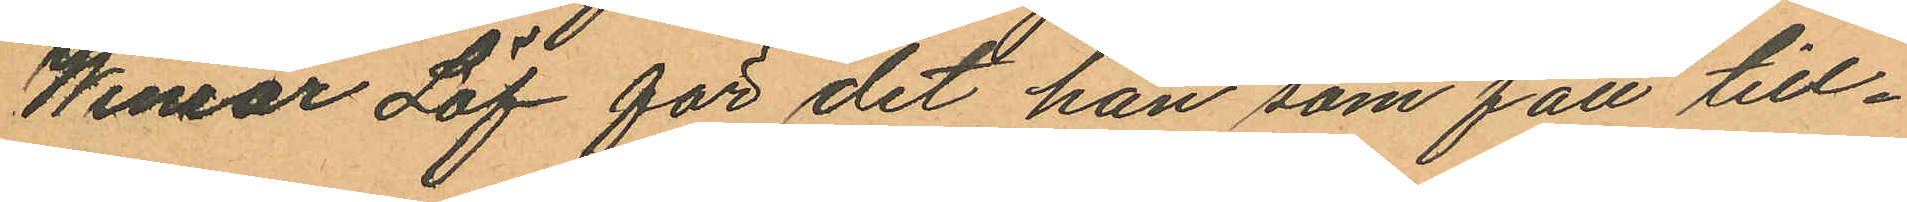Wimar Löf för det han som fått till¬
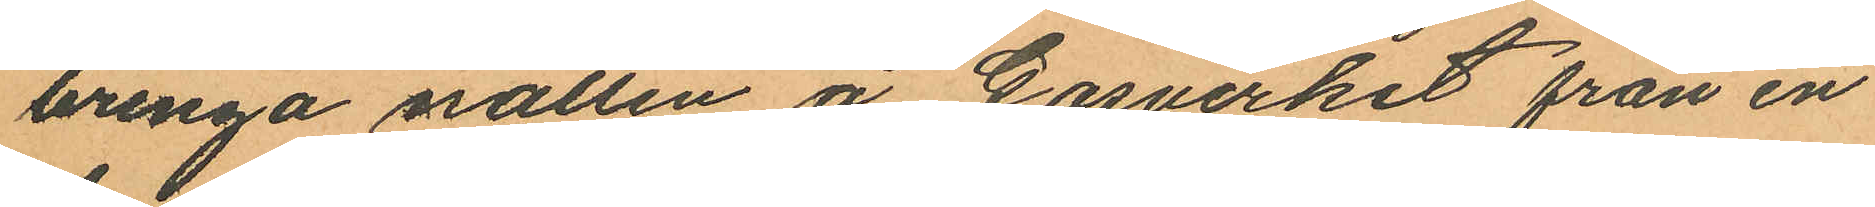bringa natten å Gasverket från en
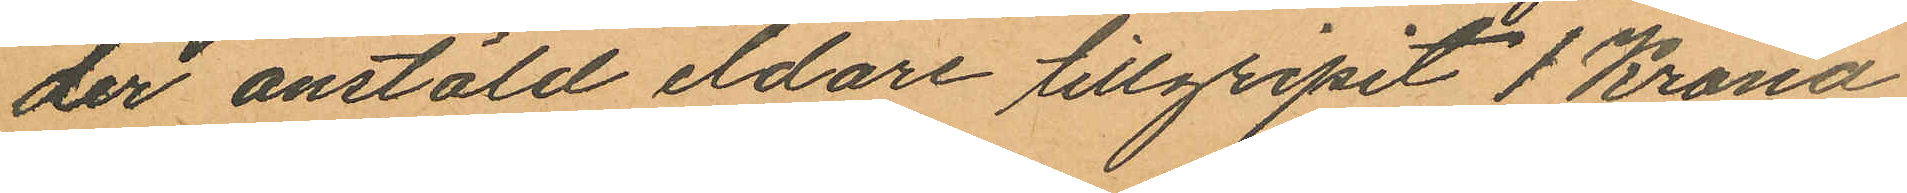der anstäld eldare tillgripit 1 Krona
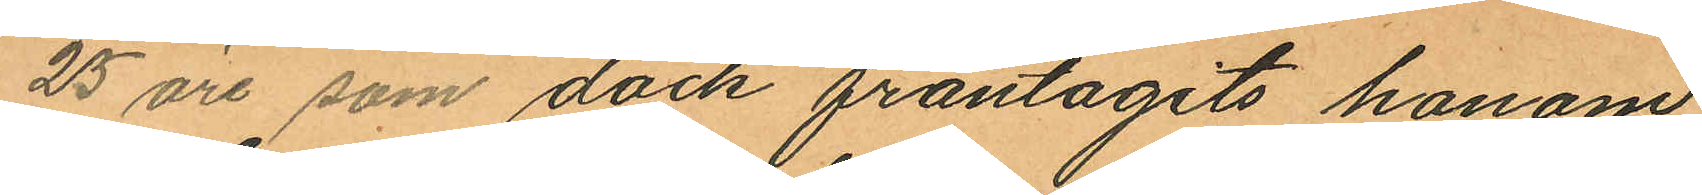25 öre som dock fråntagits honom.
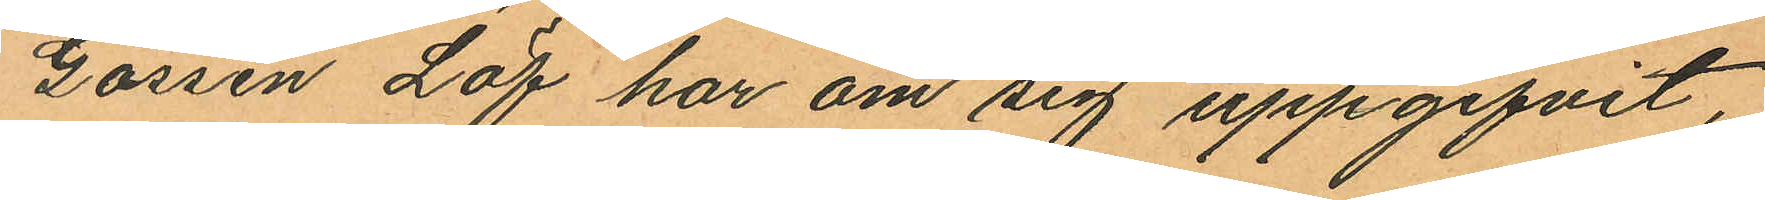Gossen Löf har om sig uppgifvit,
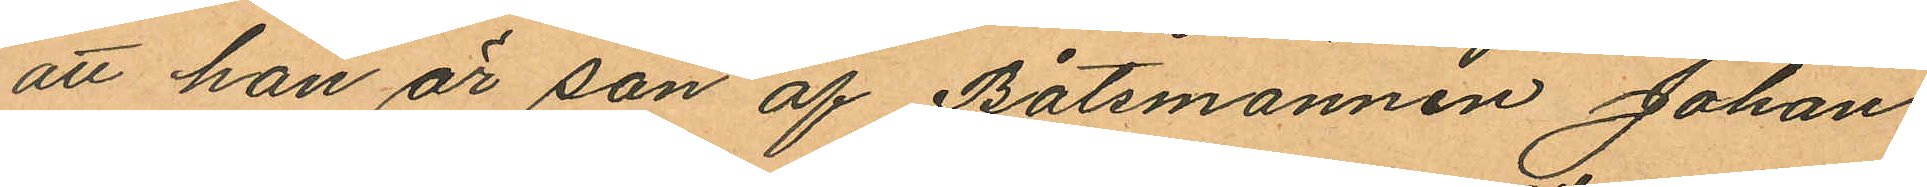att han är son af Båtsmannen Johan
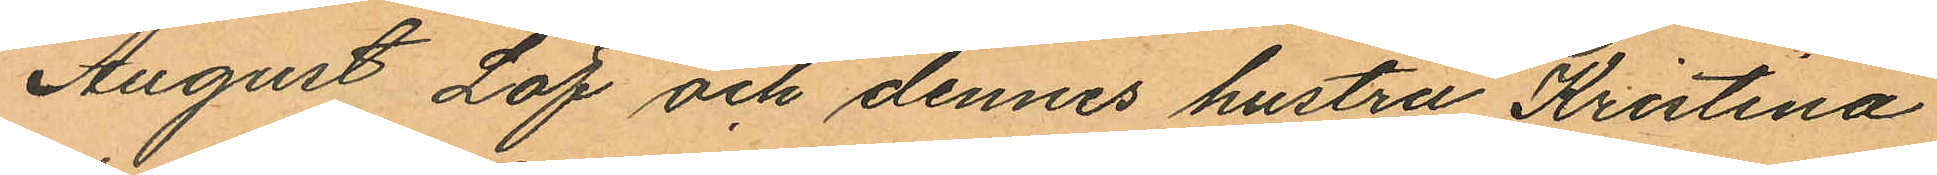August Löf och dennes hustru Kristina
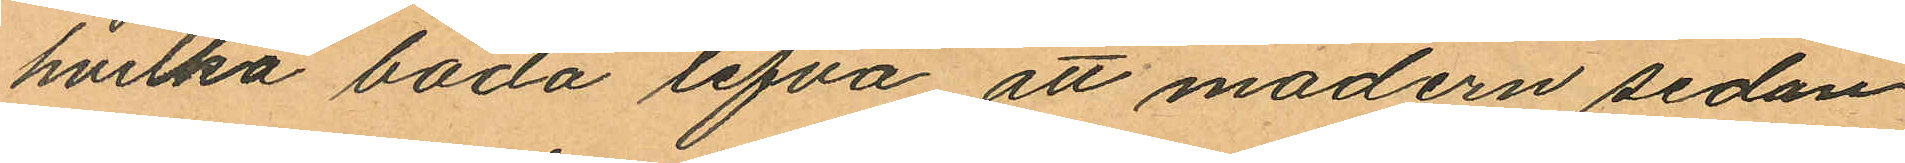hvilka båda lefva att modern sedan
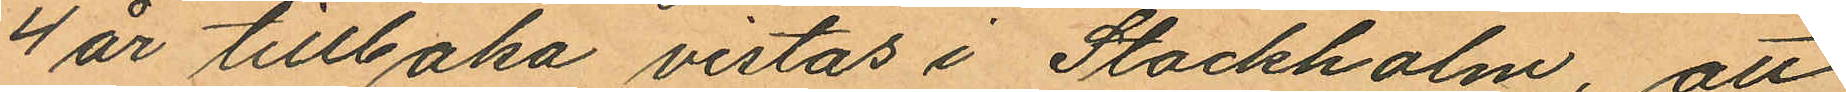4 år tillbaka vistas i Stockholm, att
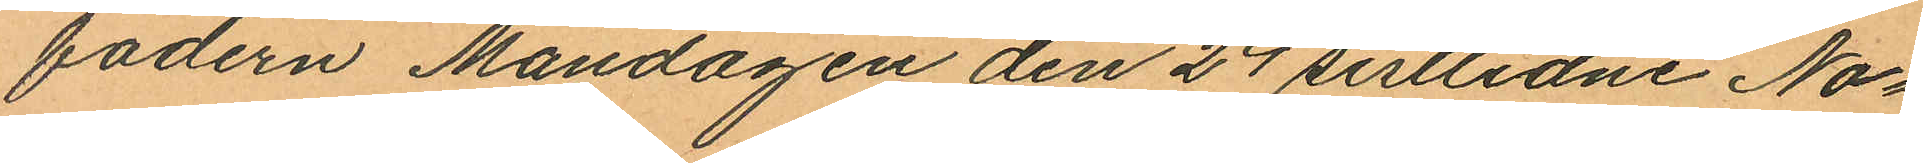fadern Måndagen den 24 sistlidne No¬
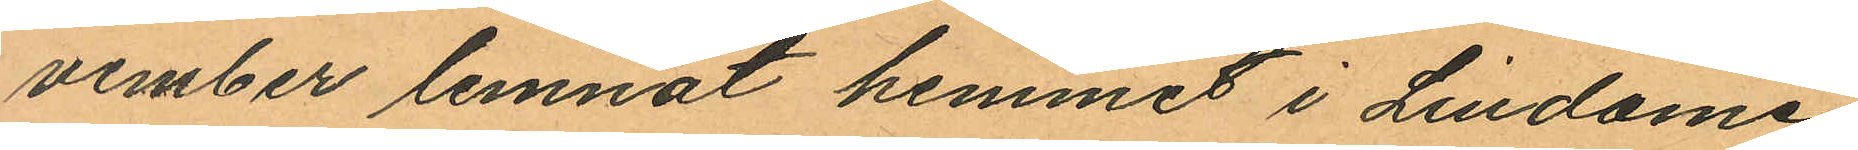vember lemnat hemmet i Lindome
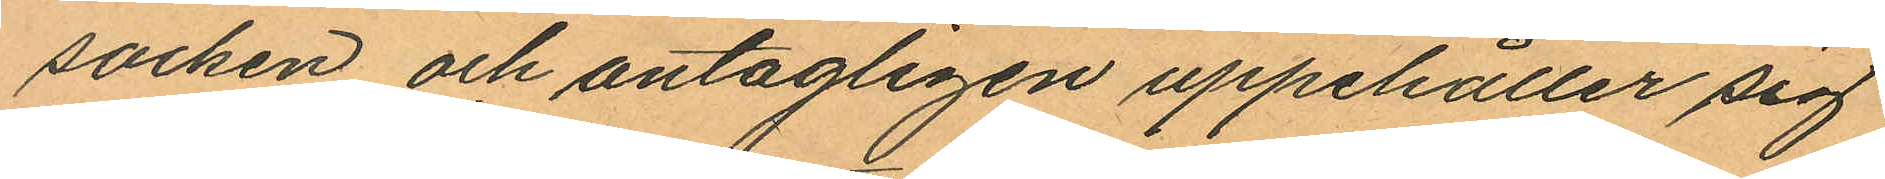socken och antagligen uppehåller sig
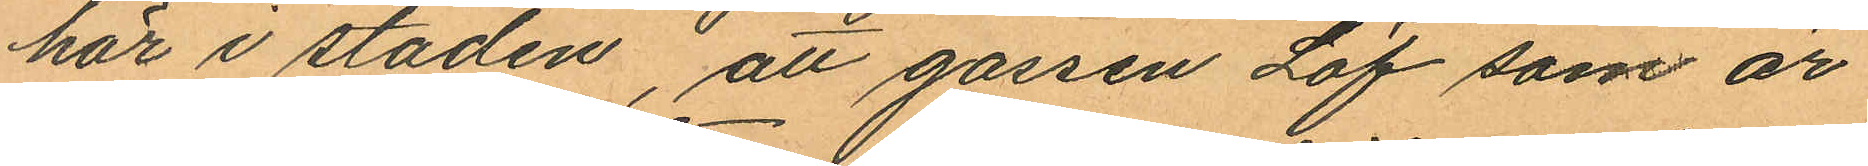här i staden, att gossen Löf som är
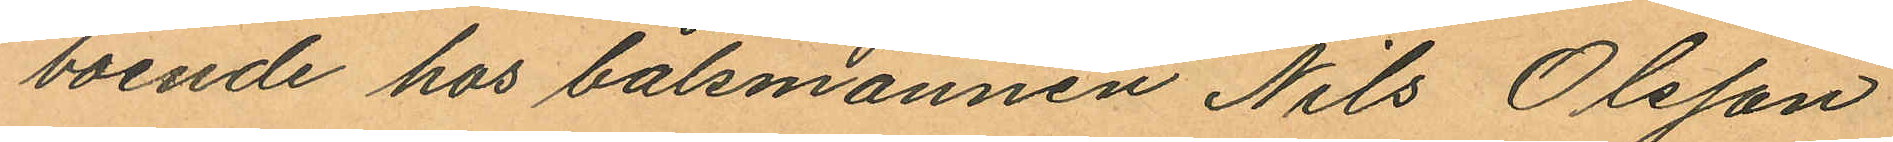boende hos båtsmannen Nils Olsson
